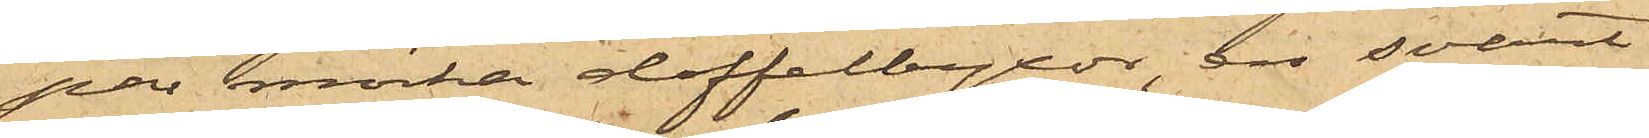par mörka doffelbyxor, en svart
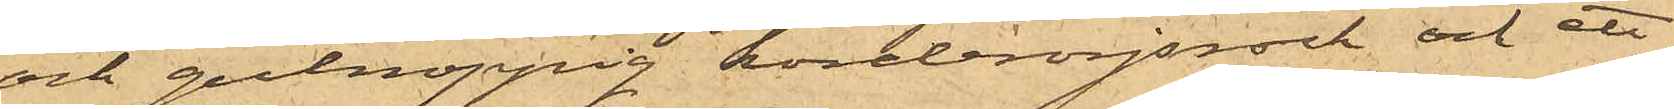och gulnoppig korderojsrock och ett
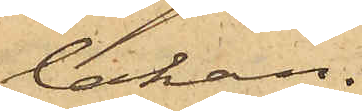lakan.
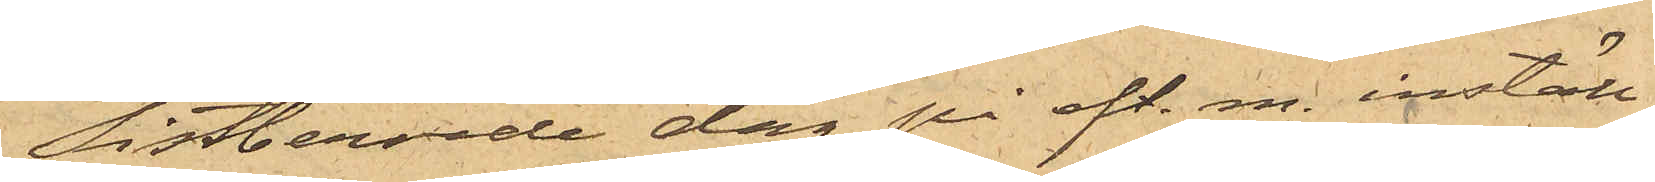Sistberörde dag på eft. m. inställ¬
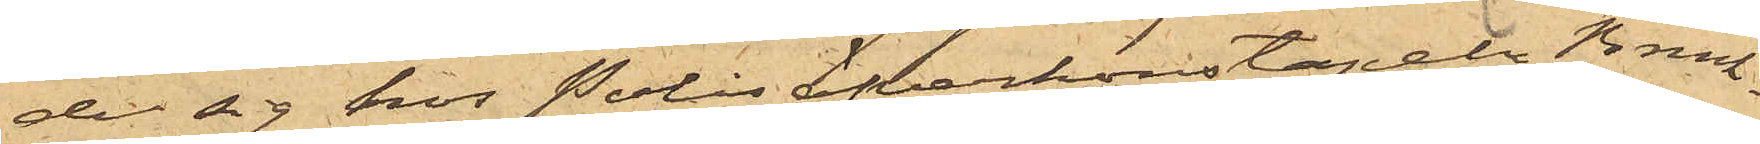de sig hos Polisöfverkonstapeln Brink¬
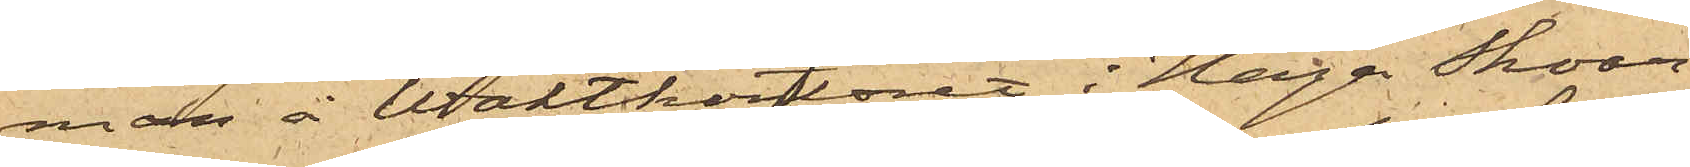man å Waktkontoret i Haga Skoar¬
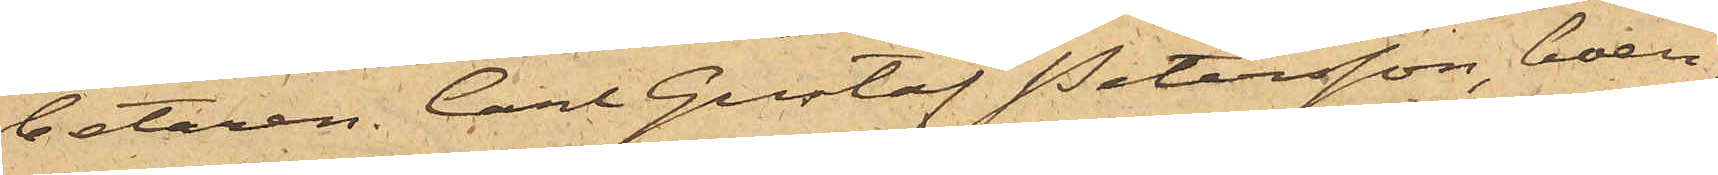betaren Carl Gustaf Petersson, boen¬
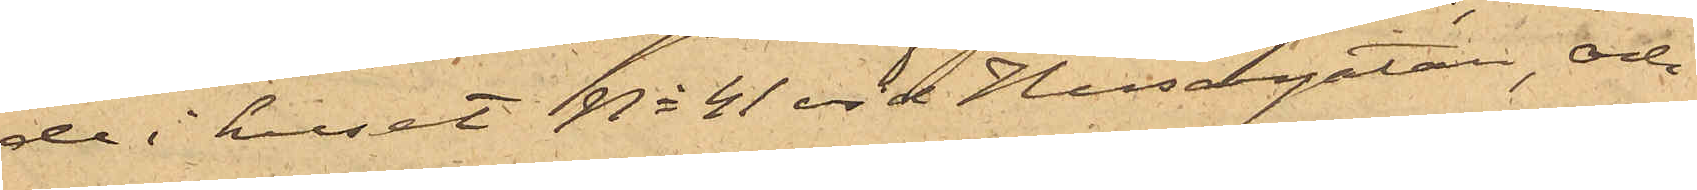de i huset No 41 vid Husargatan, och
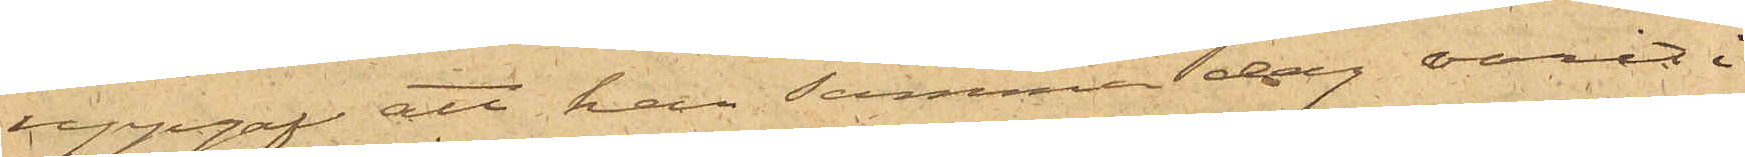uppgaf att han samma dag varit i
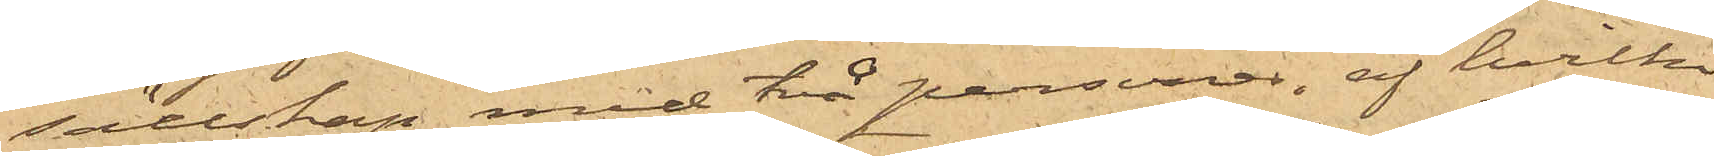sällskap med två personer, af hvilka
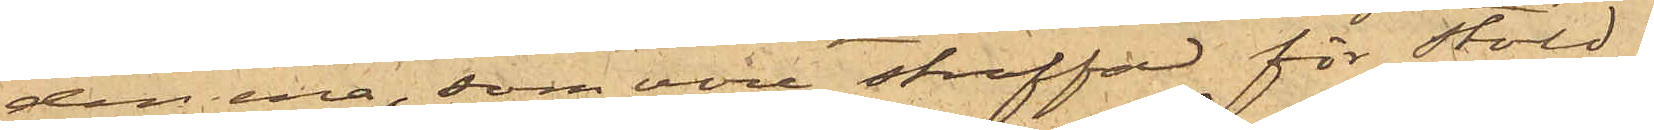den ena, som vore straffad för stöld,
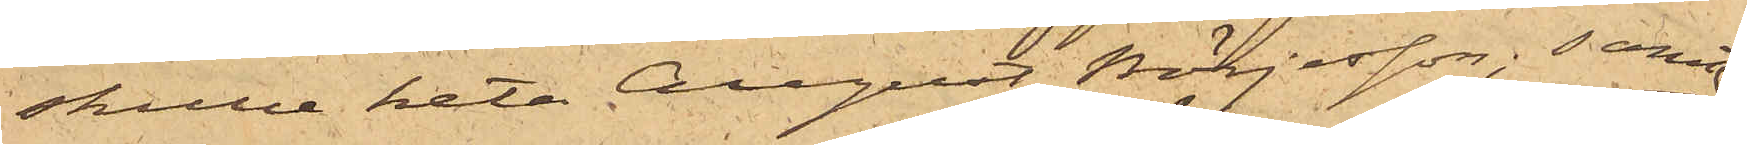skulle heta August Börjesson; samt
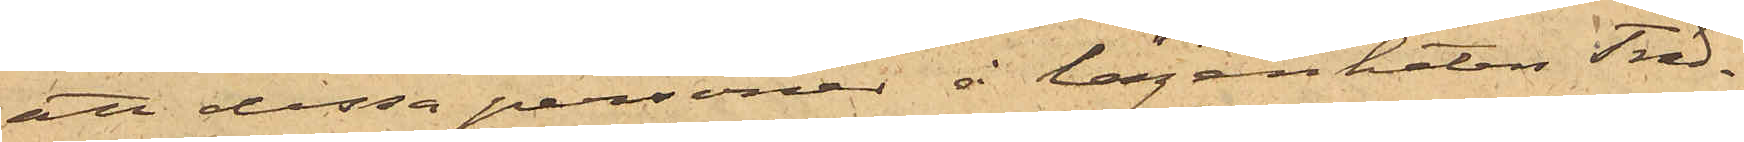att dessa personer å lägenheten Träd¬
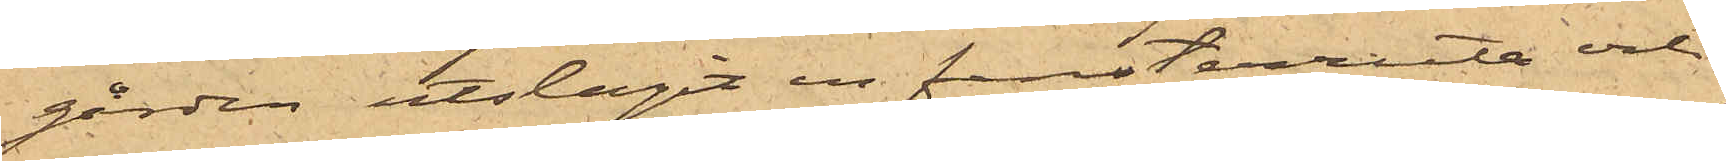gården utslagit en fensterruta och
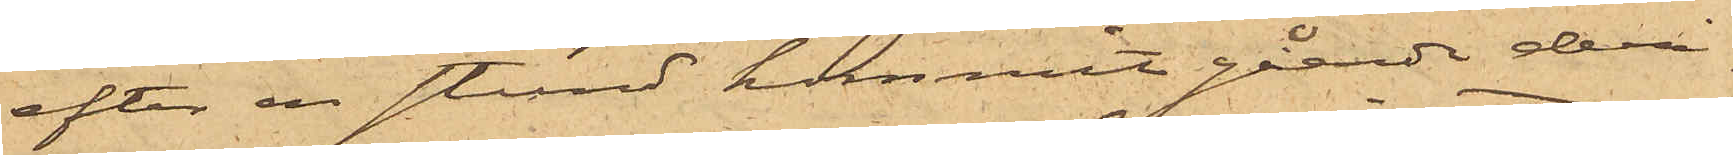efter en stund kommit gående deri¬
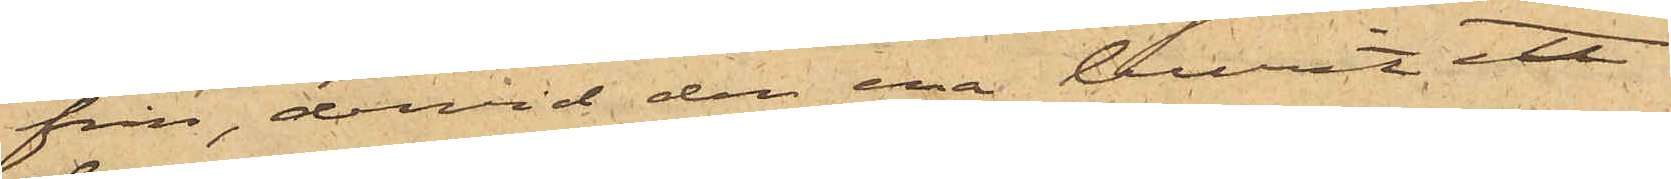från, dervid den ena burit ett
